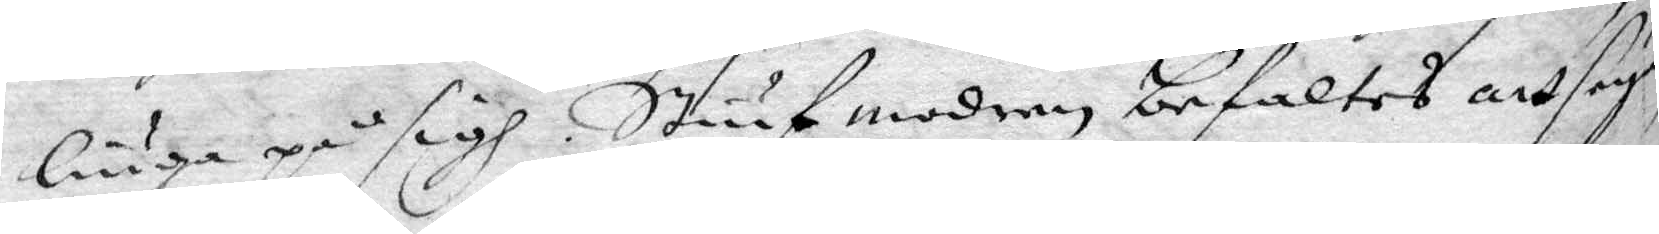liuga på sigh. Stiugmodren befaltes att seya
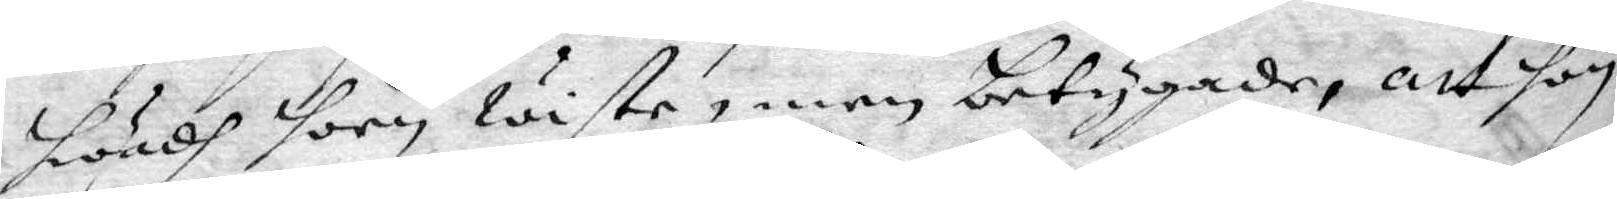hwadh hon wiste, men betygade, att hon
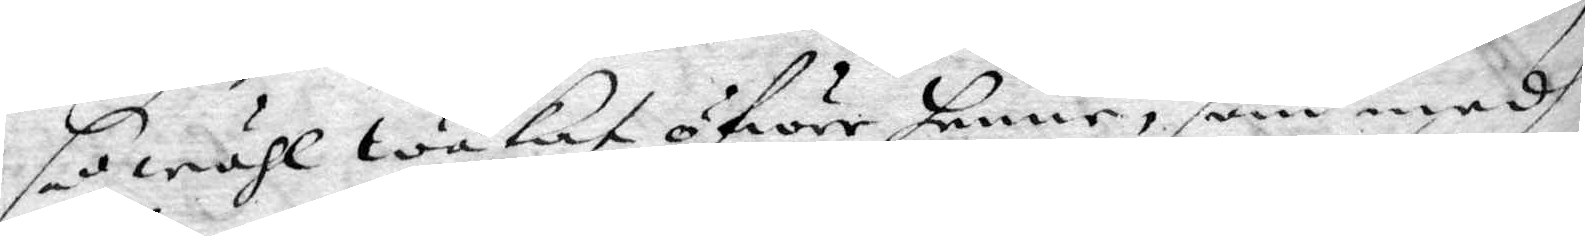så wähl wakat öfwer henne, som medh
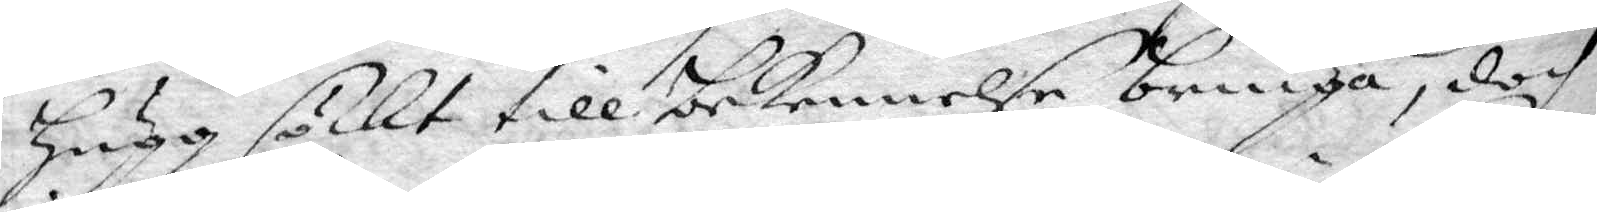Hugg söckt till bekennelse bringa, doch
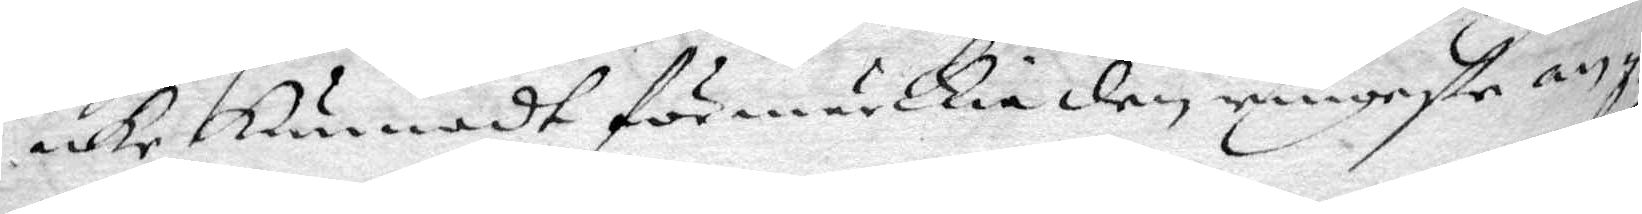icke kunnadt förmärckia ringaste an¬
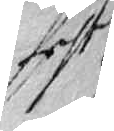fecht
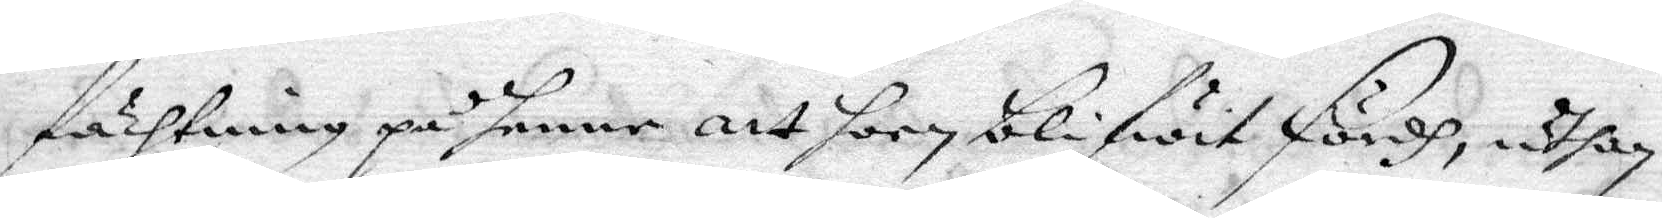fächtning på henne att hon blifwit fördh, uthan
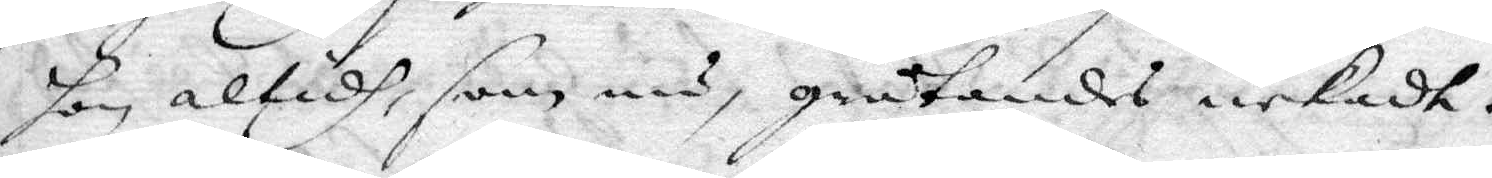hon altidh, som nu, gråtandes nekadt.
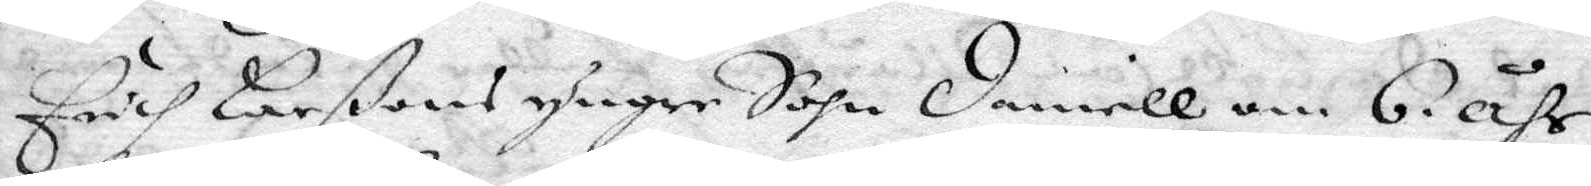Erich Larßons yngre Sohn Daniell om 6. åhr,
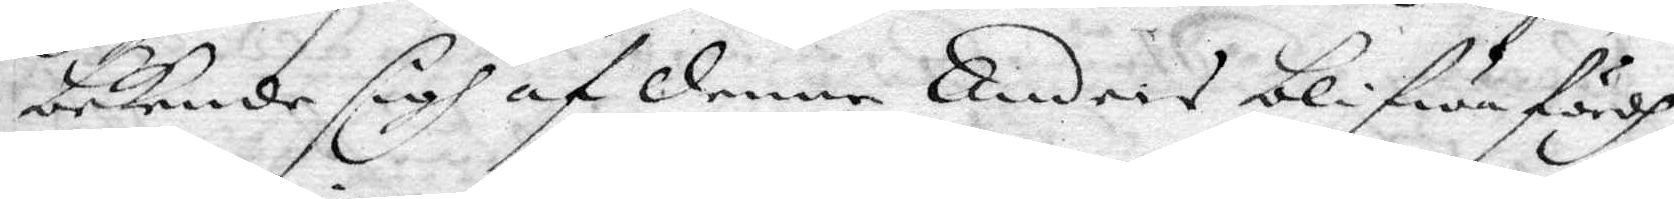bekende sigh af denne Anders blifwa fördh,
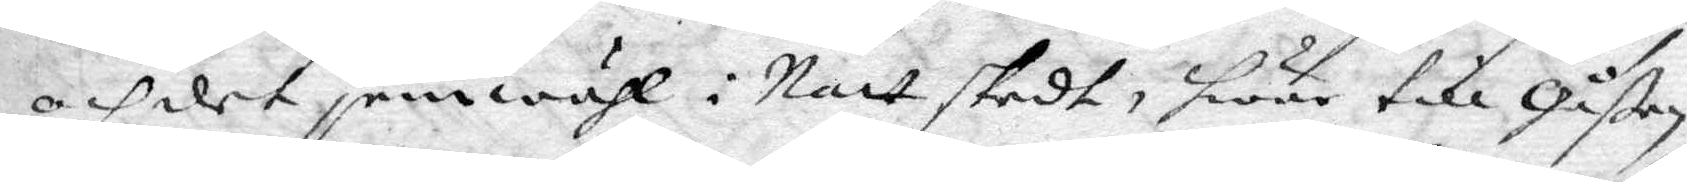och det jemwähl i Natt skedt, hwar till Gåßen
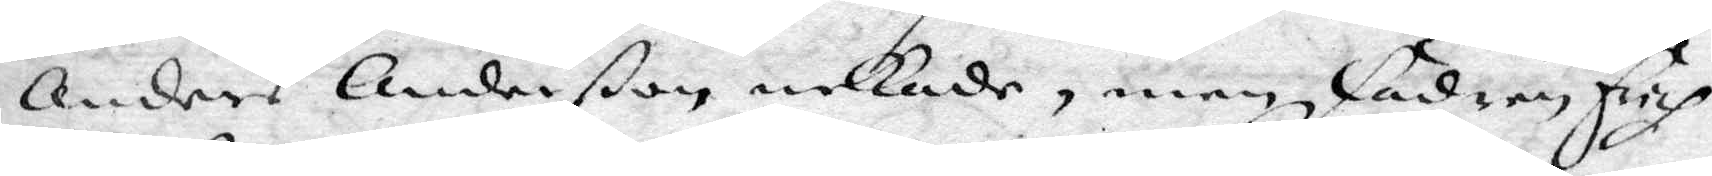Anders Anderßon nekade, men Fadren Erich
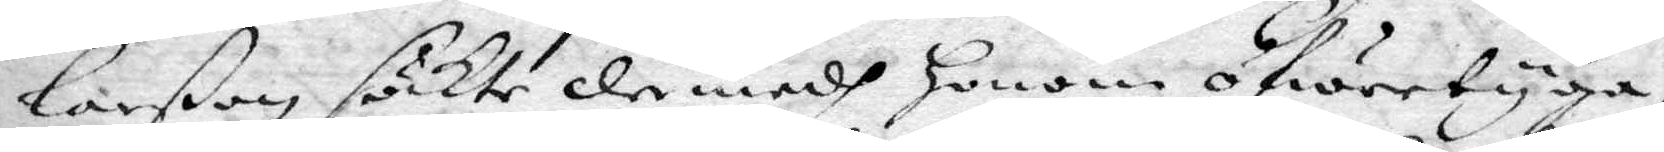Larßon sökte der medh honom öfwertyga,
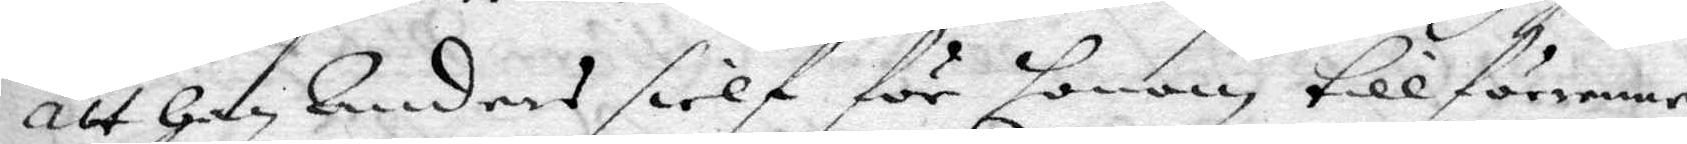att han Anders sielf för honom tillförene
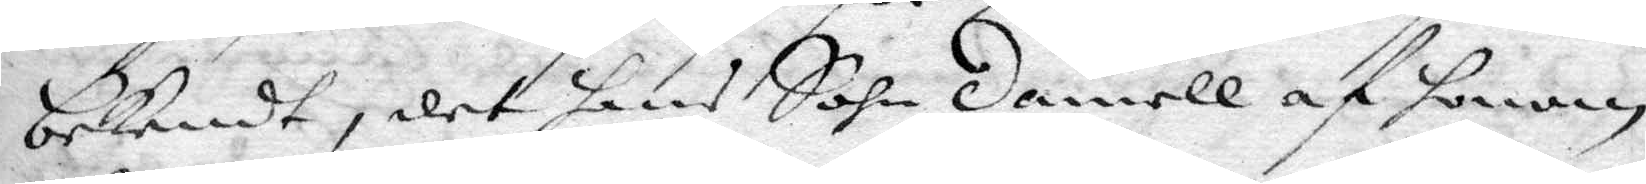bekndt, det hans Sohn Daniell af honom
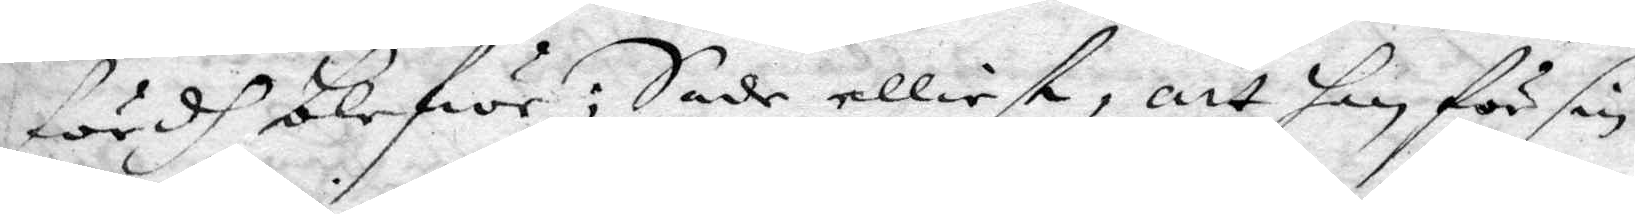fördh blifwe: Sade elliset, att han för sin
